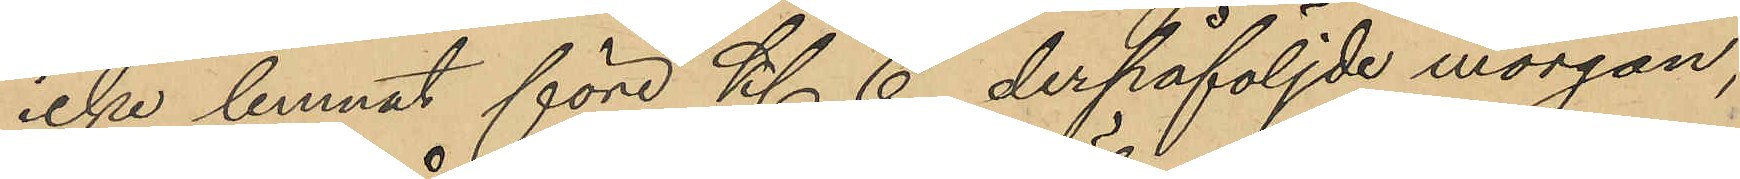icke lemnat före Kl. 6 derpåföljde morgon,
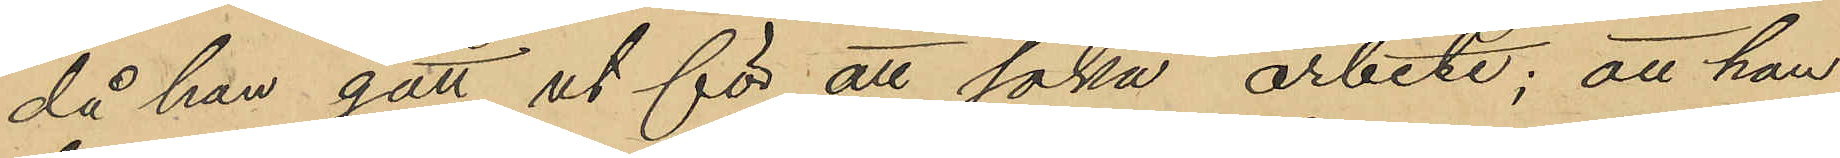då han gått ut för att söka arbete; att han
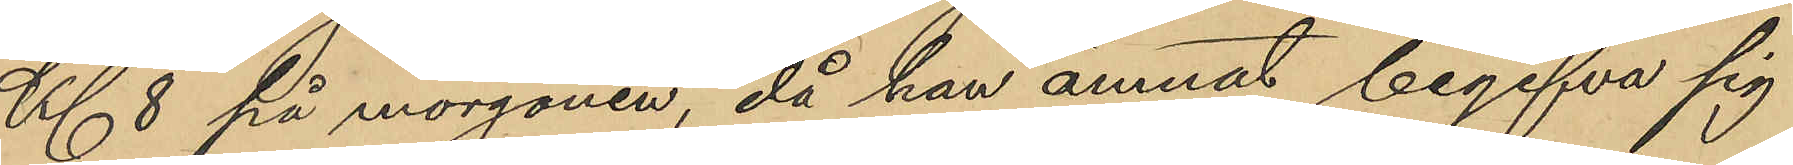Kl. 8 på morgonen, då han ämnat begifva sig
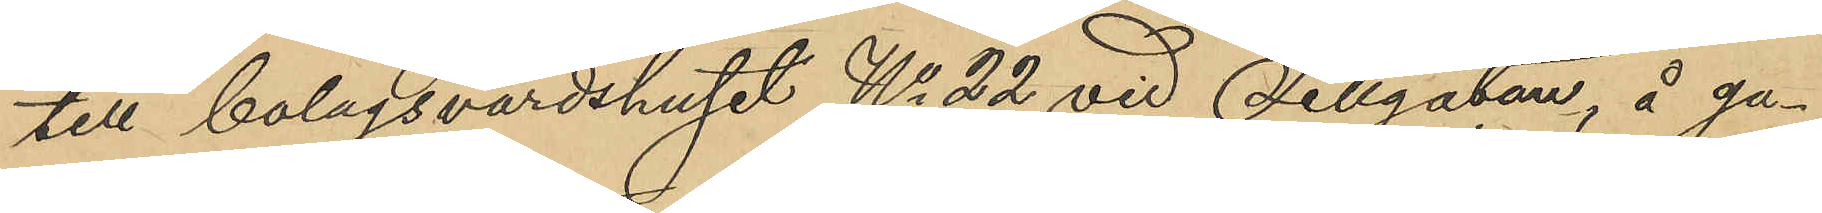till bolagsvärdshuset No 22 vid Sillgatan, å ga¬
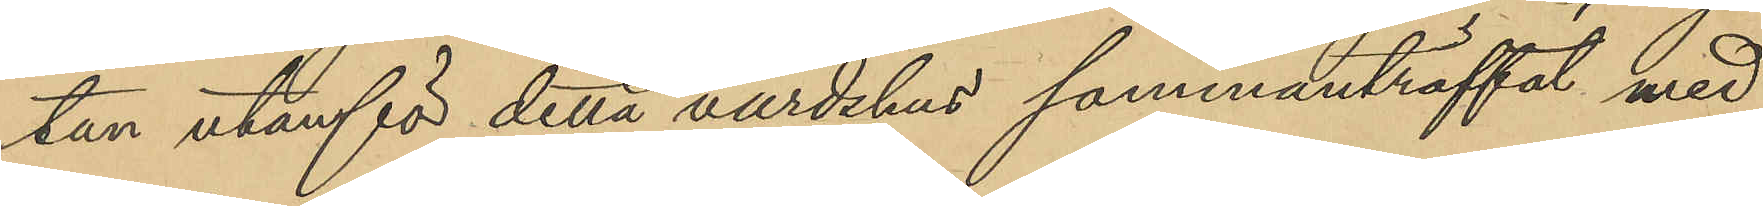tan utanför detta värdshus sammanträffat med
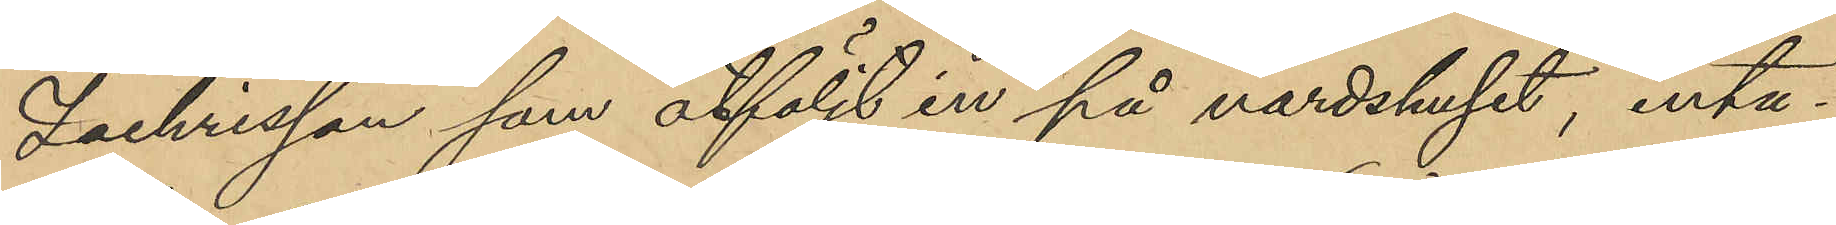Zachrisson som åtföljt in på värdshuset, inta¬
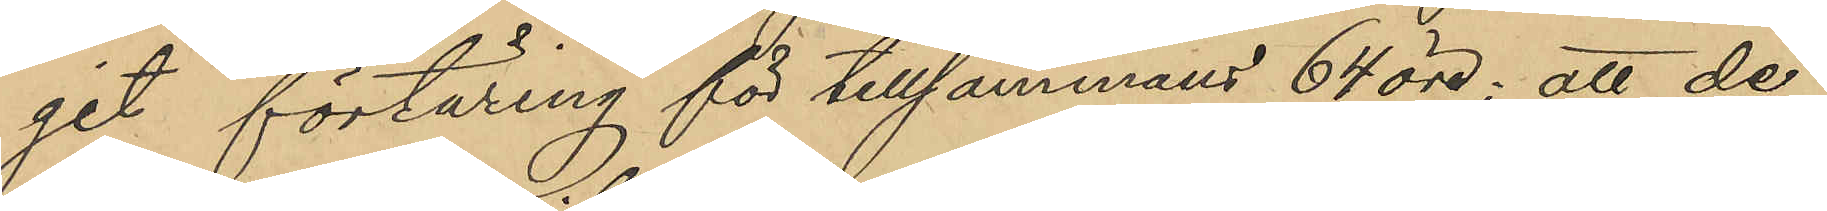get förtäring för tillsammans 64 öre; att de
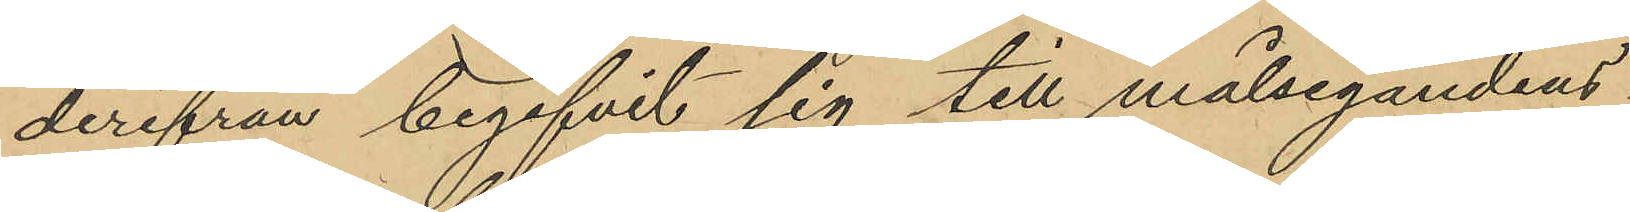derifrån begifvit sig till målsegandens
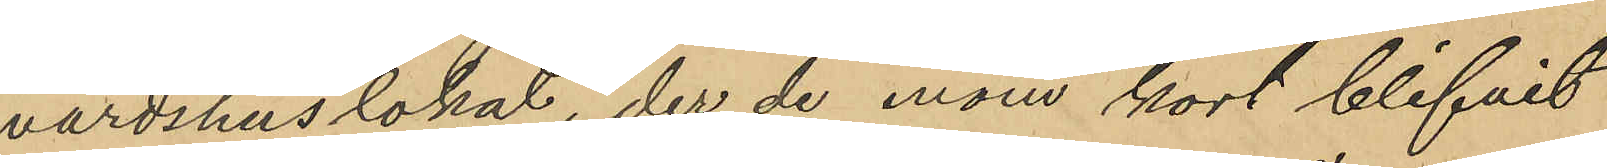värdshuslokal, der de inom kort blifvit
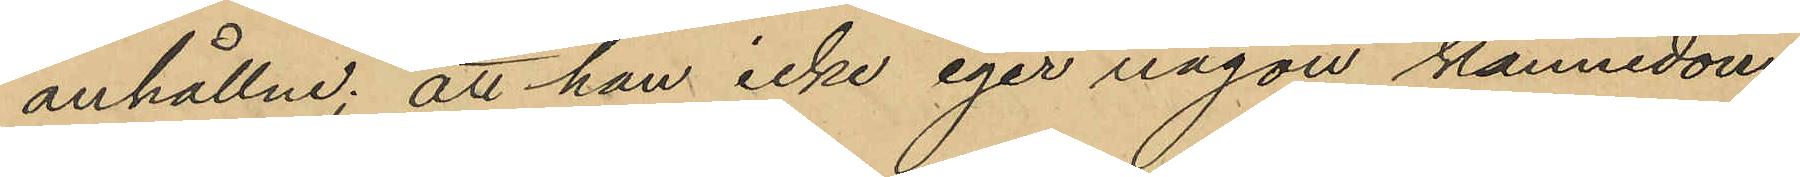anhållne; att han icke eger någon kännedom
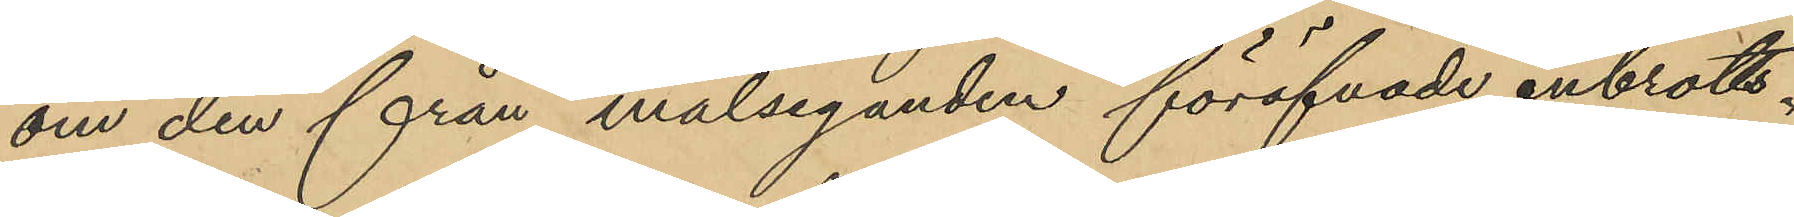om den från målseganden föröfvade inbrotts¬
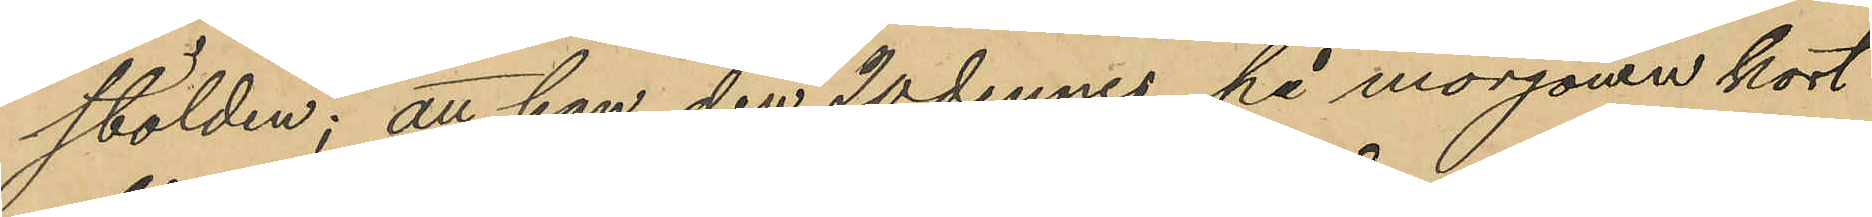stölden; att han den 20 dennes på morgonen kort
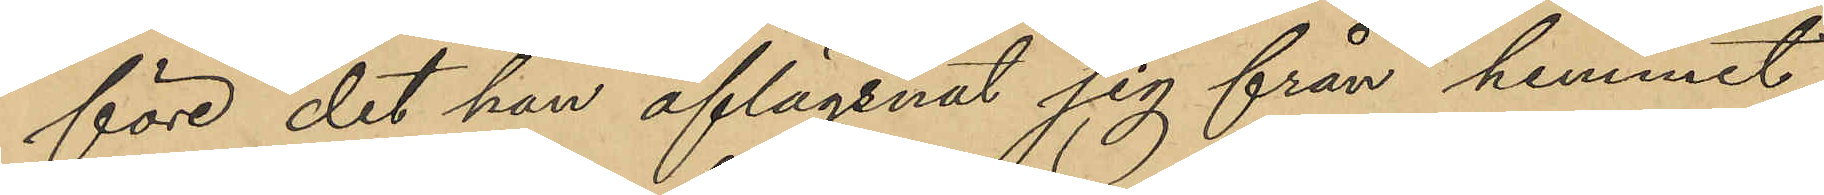före det han aflägsnat sig från hemmet,
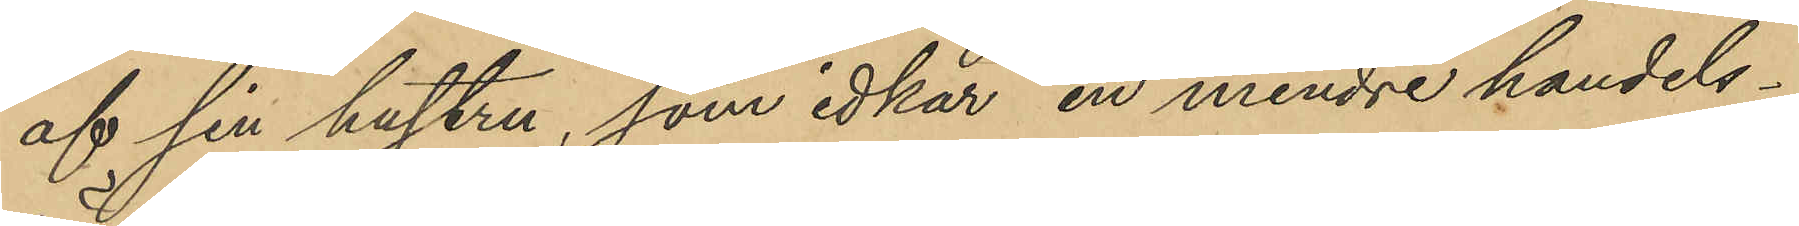af sin hustru, som idkar en mindre handels¬
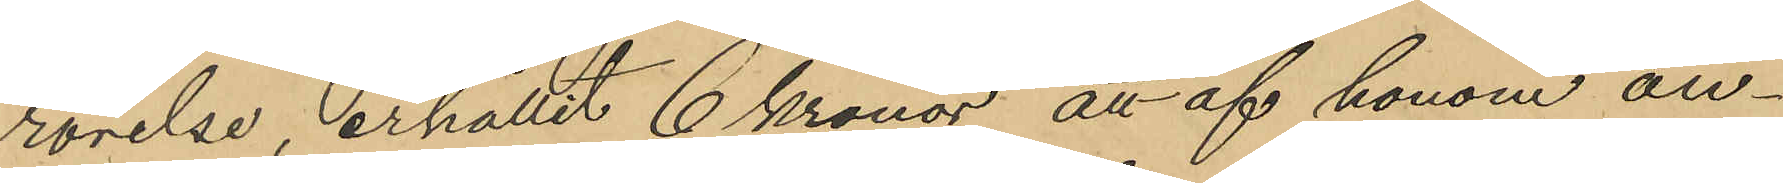rörelse, erhållit 6 kronor att af honom an¬
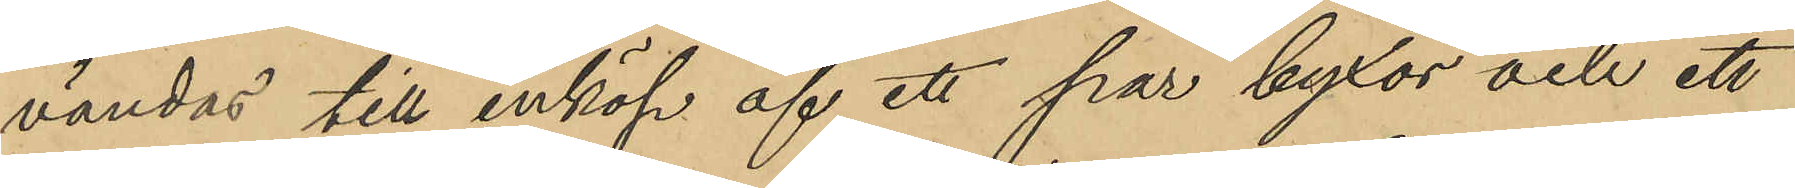vändas till inköp af ett par byxor och ett
